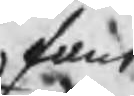fant
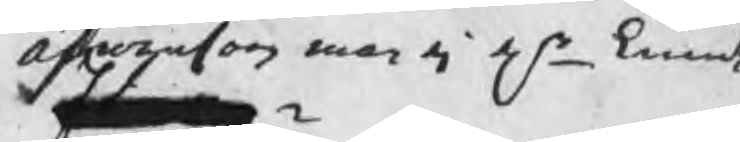Äfwensom man ej elr kunde
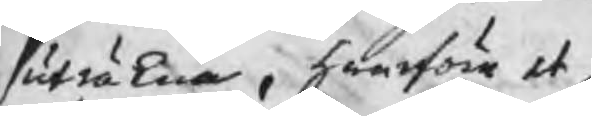uträkna, hwarföre et
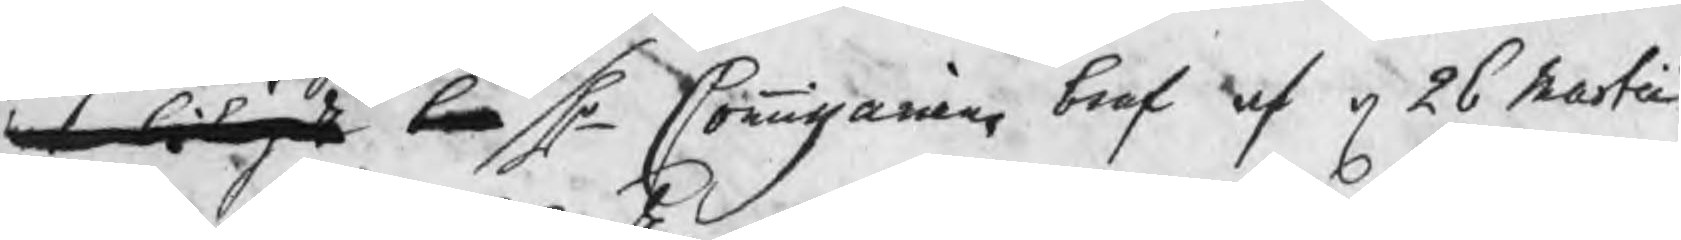mt bek be Hr Commissariens bref af d 26 Martii
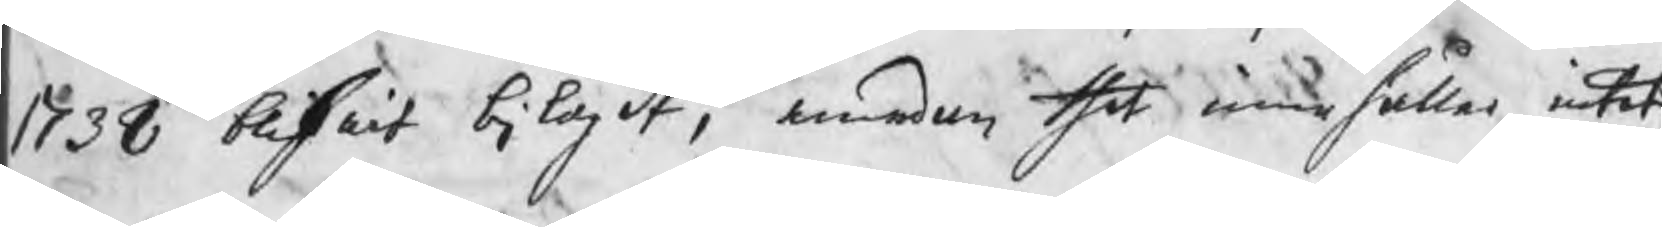1738 blifwit bilagdt, emedan thet innehåller intet
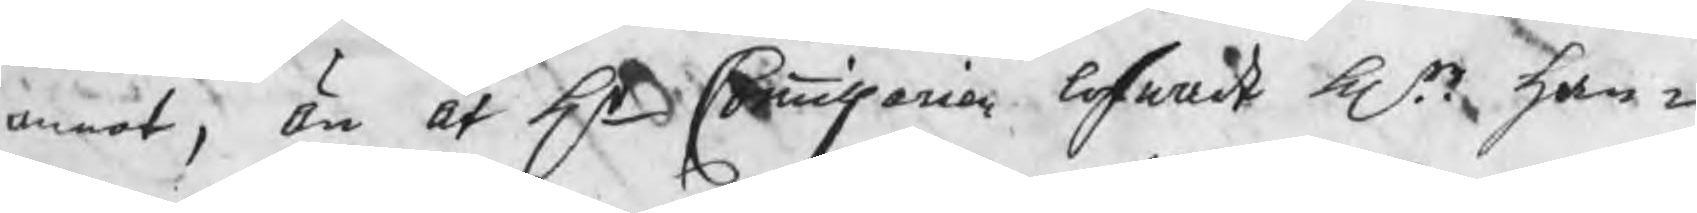annat, än at Hr Commissarien lofwade Hrr han¬
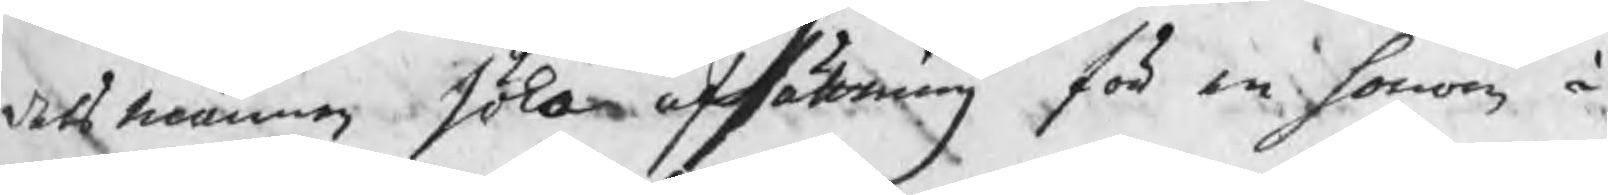delsmännen söka afsättning för en honom å
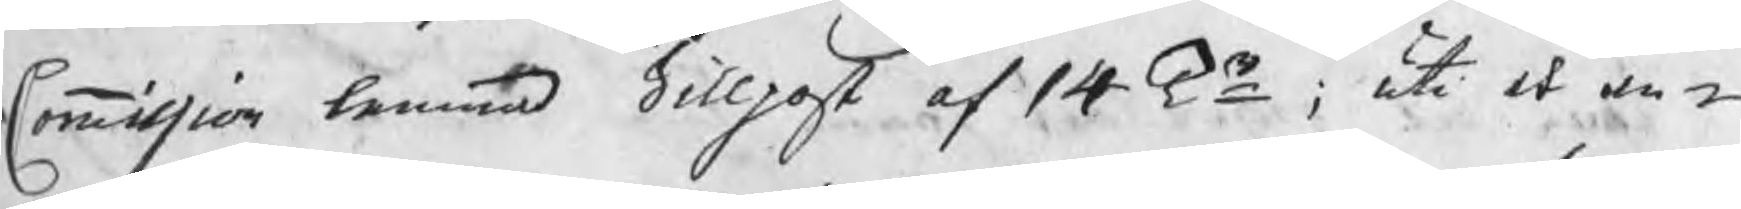Commission lemnad Sillpost af 14 Tr; uti et an¬
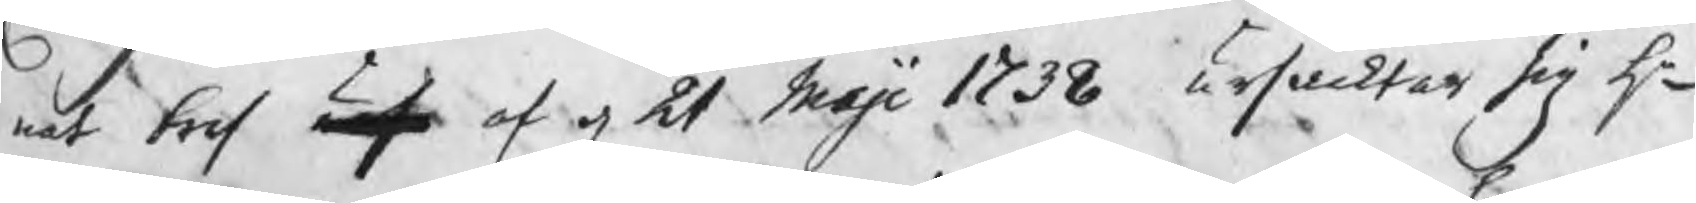nat bref urs af d 21 Maji 1738 ursacktar sig Hr
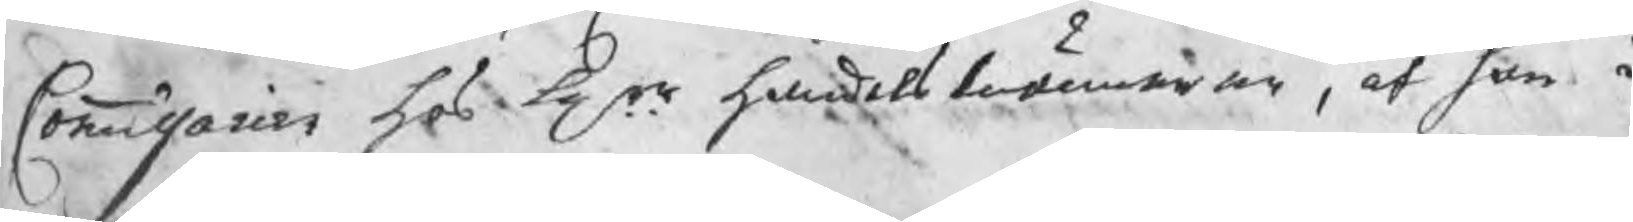Commissarien hos Hrr handelsmännen, at han i
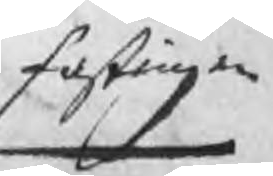fastingen
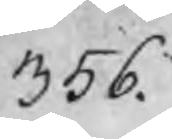356.
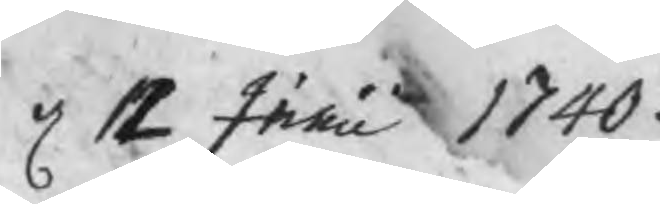d 12 Junii 1740.
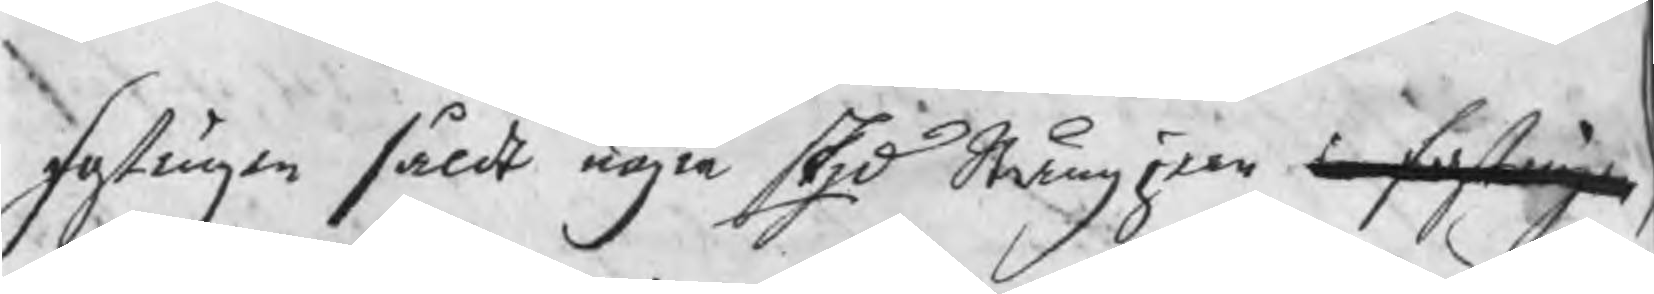fostingen såldt några skpd Stångjern i fostningen
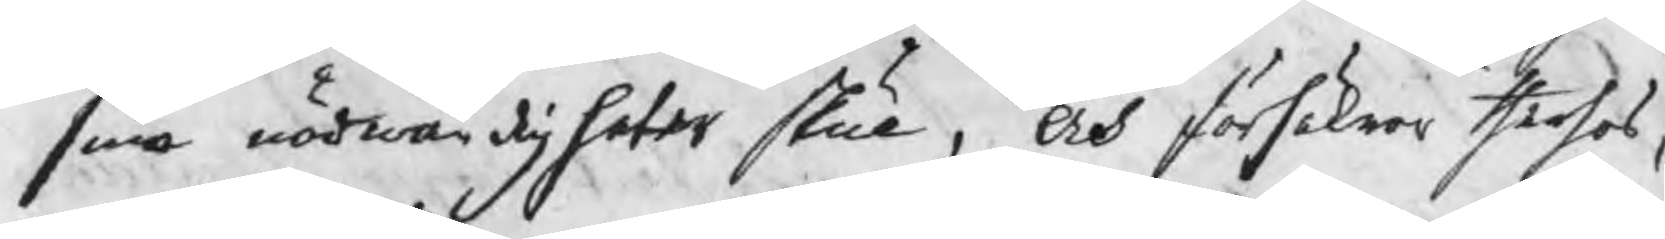sina nödwändigheter skull, Och försäkrar therhos,
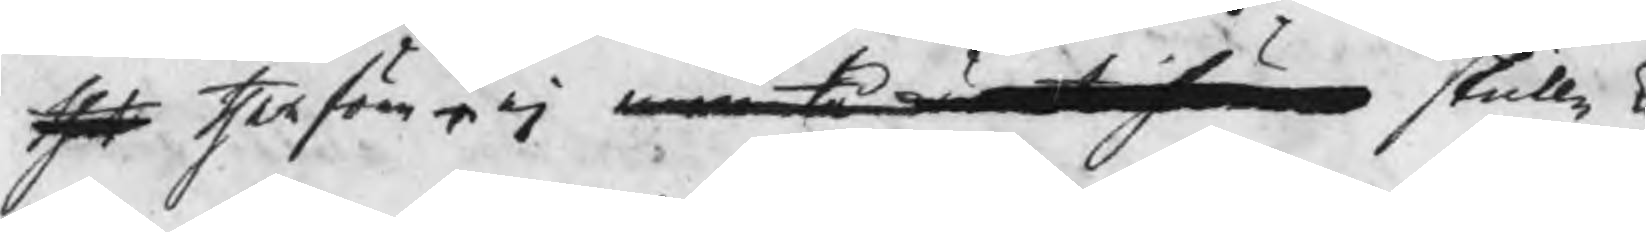thet therföre r ej man tå wä skulle k
